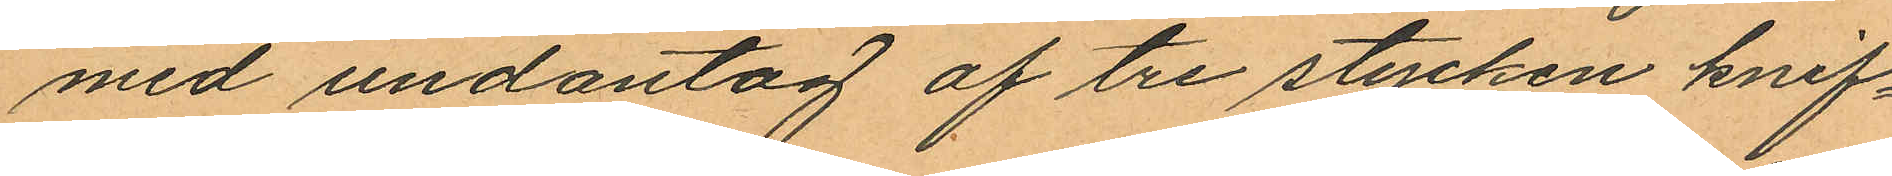med undantag af tre stycken knif¬
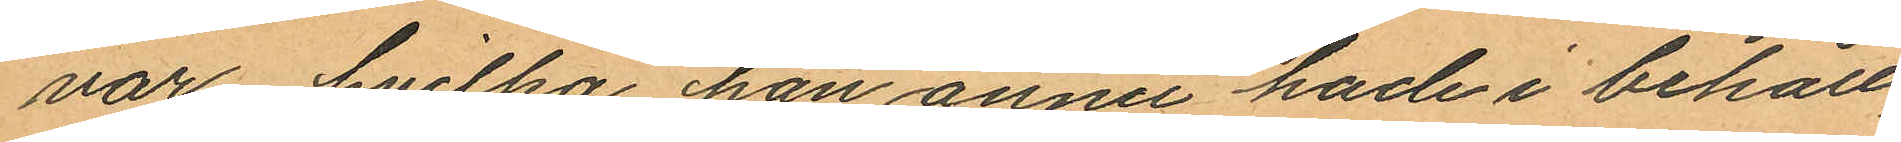var, hvilka han ännu hade i behåll,
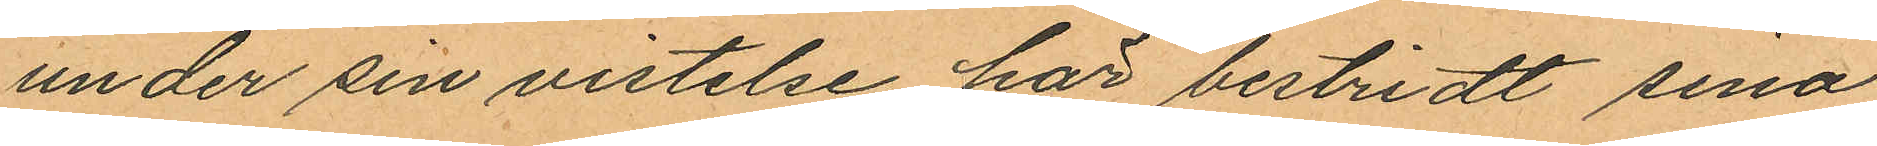under sin vistelse här bestridt sina
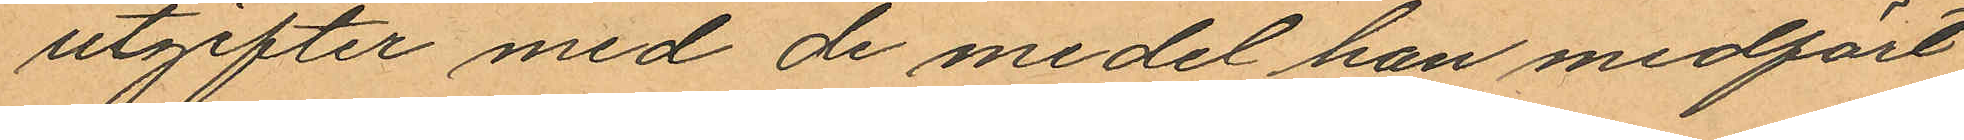utgifter med de medel han medfört
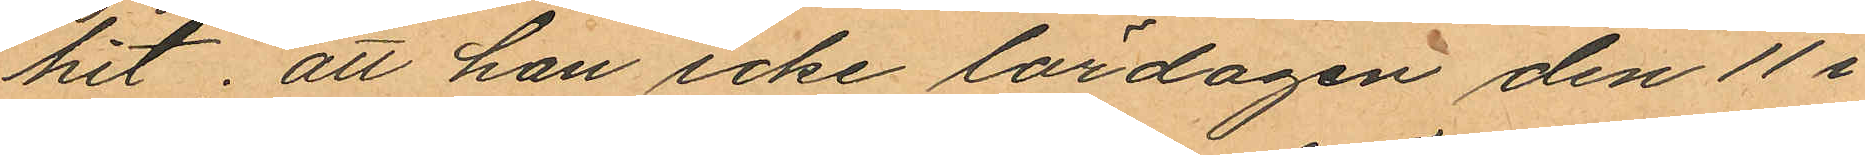hit; att han icke lördagen den 11 i
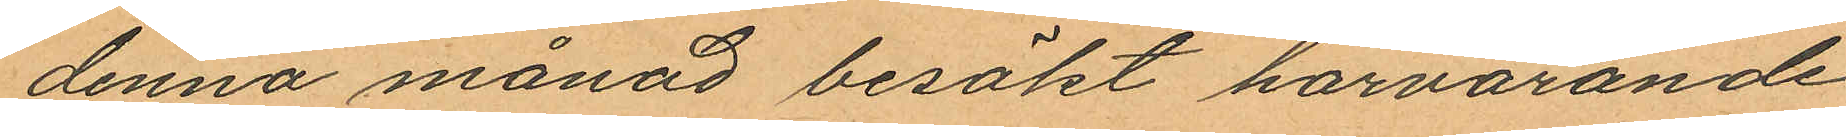denna månad besökt härvarande
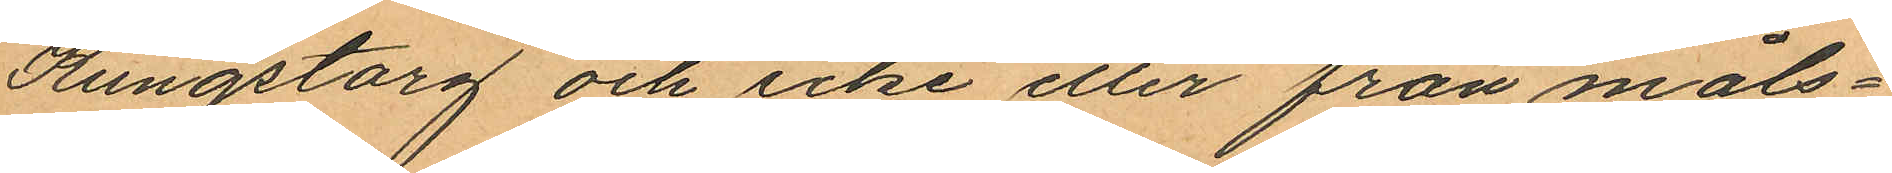Kungstorg och icke eller från måls¬
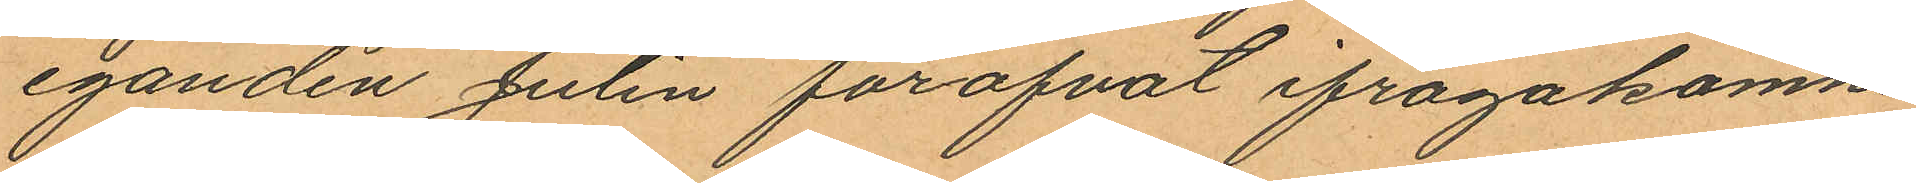eganden Julin föröfvat ifrågakomne
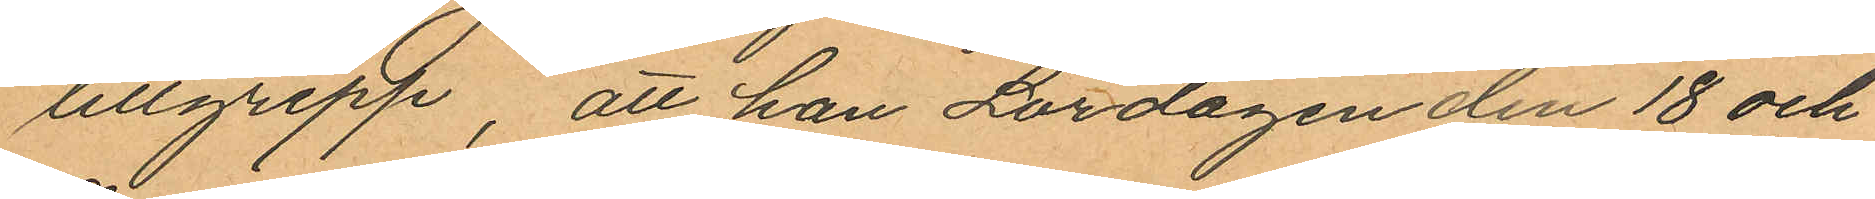tillgrepp, att han Lördagen den 18 och
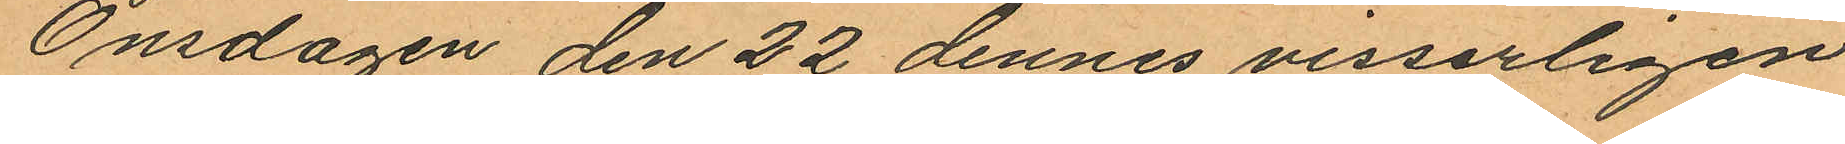Onsdagen den 22 dennes visserligen
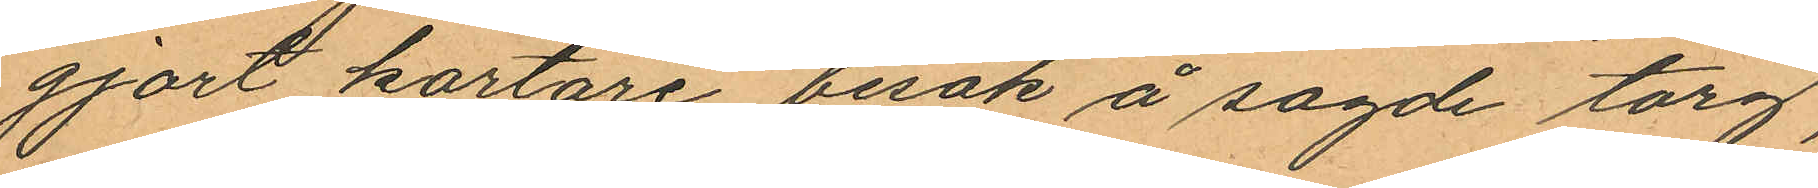gjort kortare besök å sagde torg,
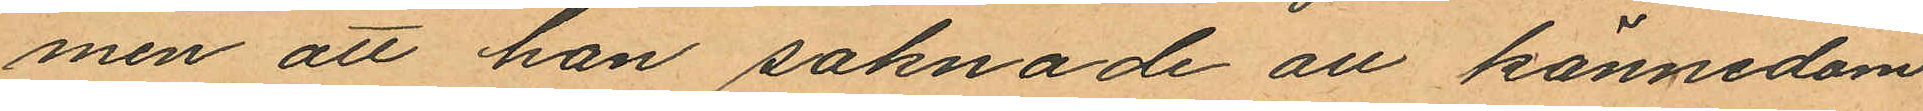men att han saknade all kännedom
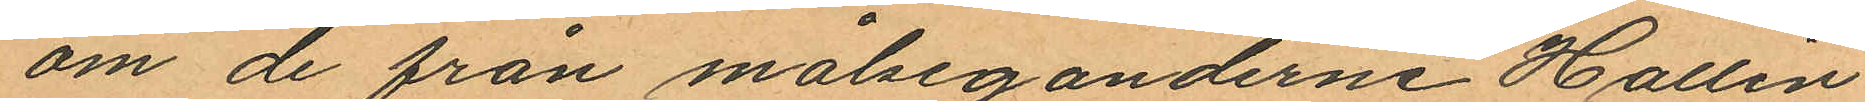om de från målseganderne Hallin
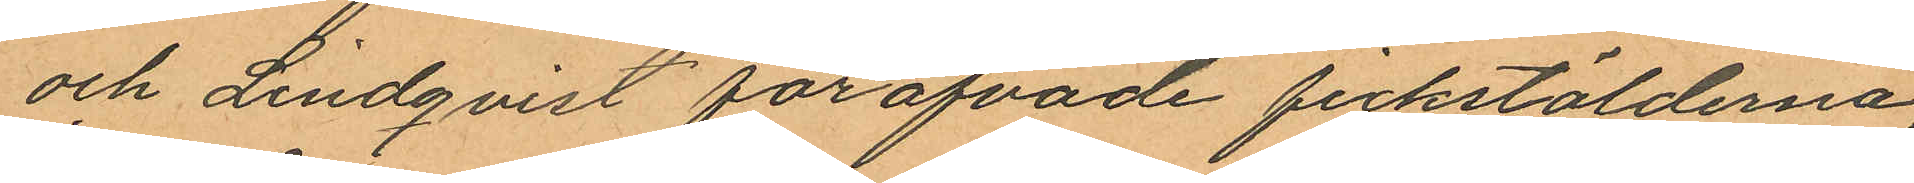och Lindqvist föröfvade fickstölderna;
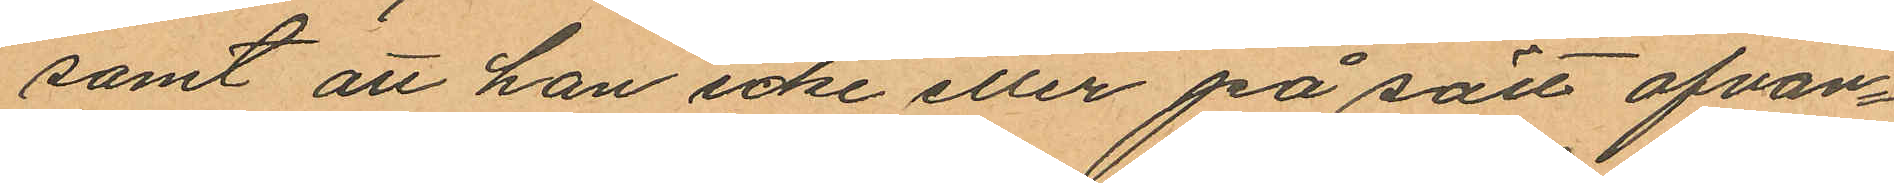samt att han icke eller på sätt ofvan¬
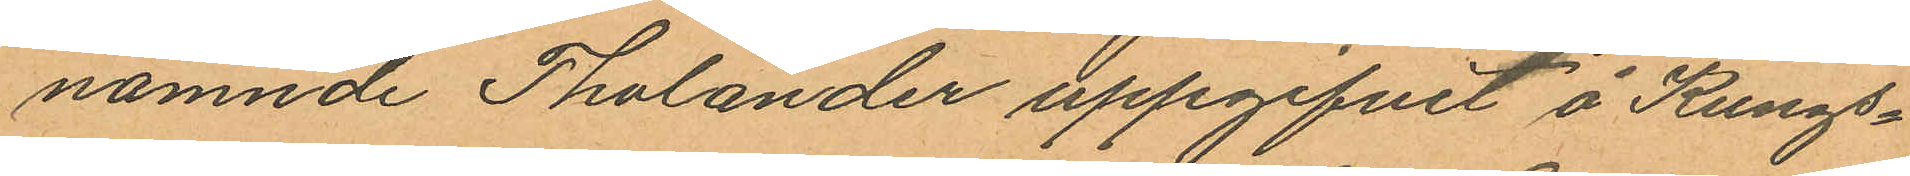nämnde Tholander uppgifvit å Kungs¬
